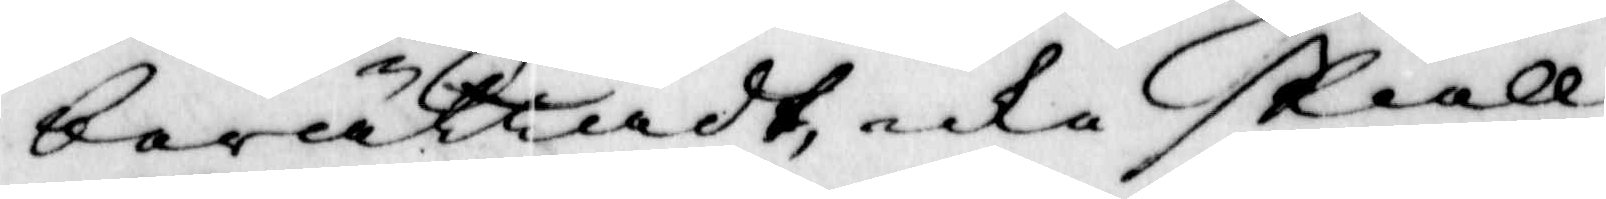berättadt icke skall
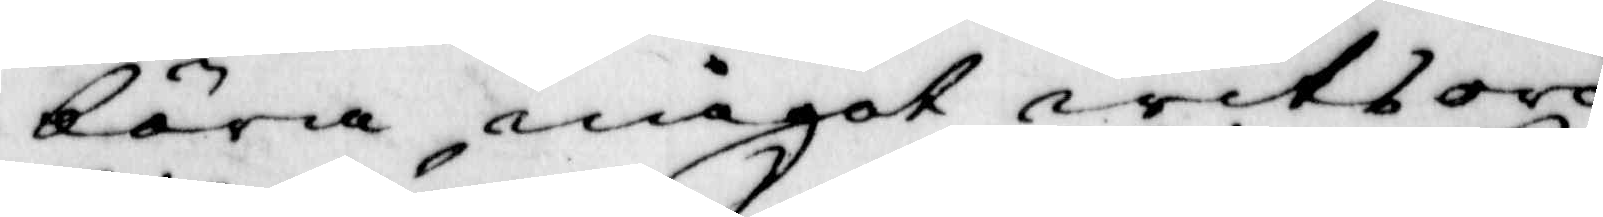böra något witsord
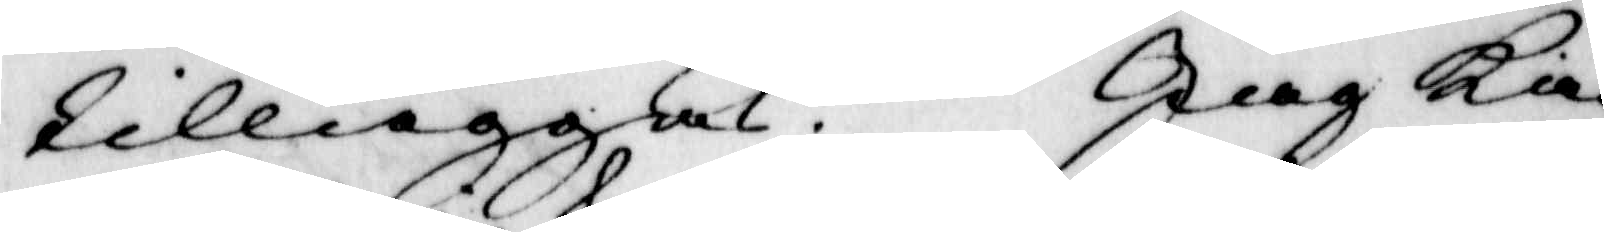tilläggas. Jiag kan
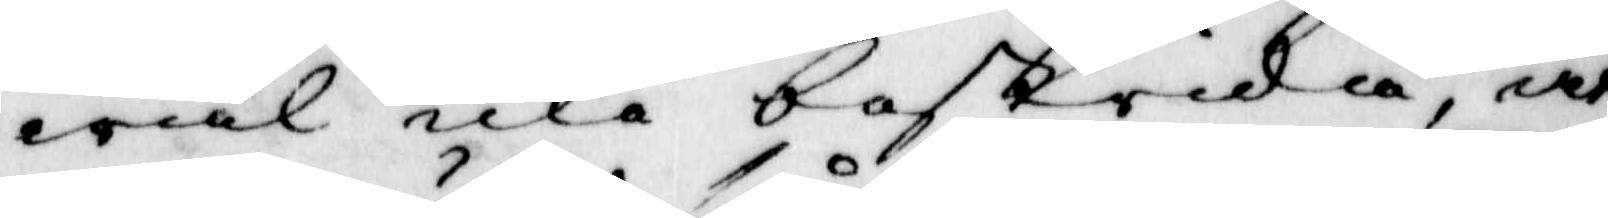wäl icke bestrida, at
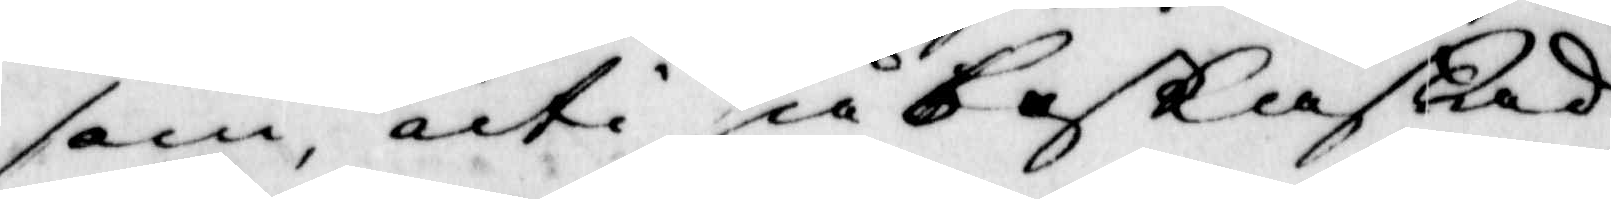som uti såbeskaffad
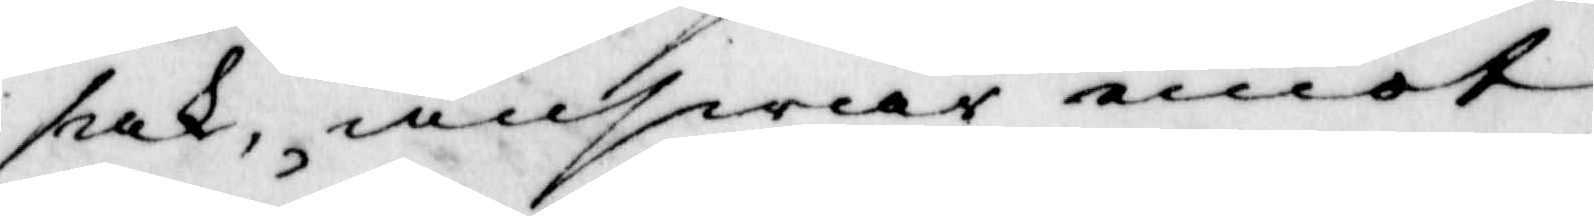sak, answar emot
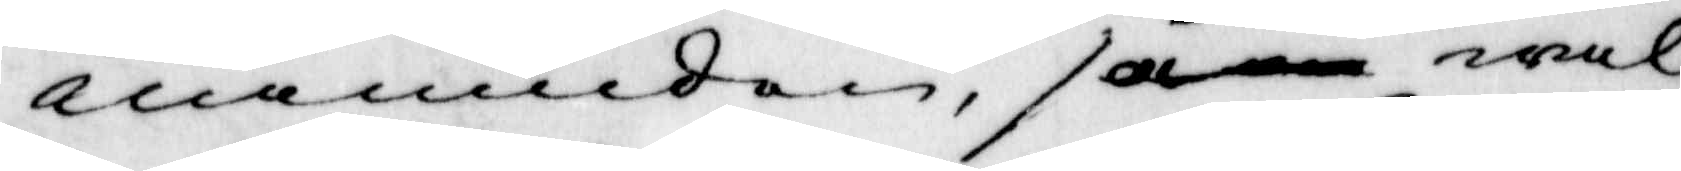nämnden, så wäl
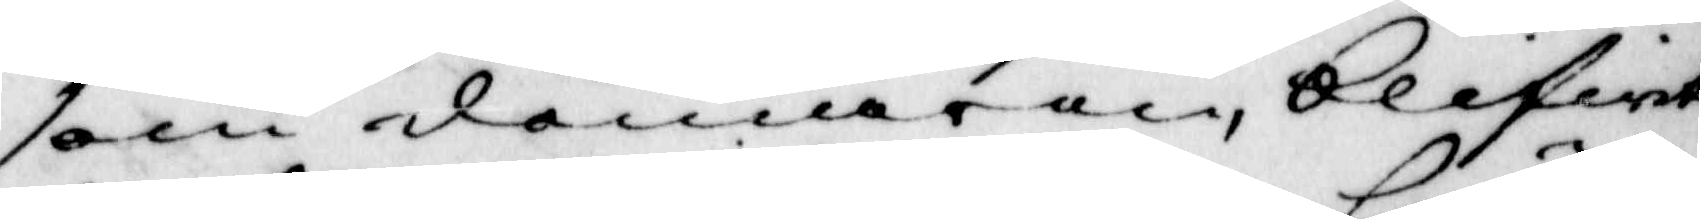som domaren, blifwit
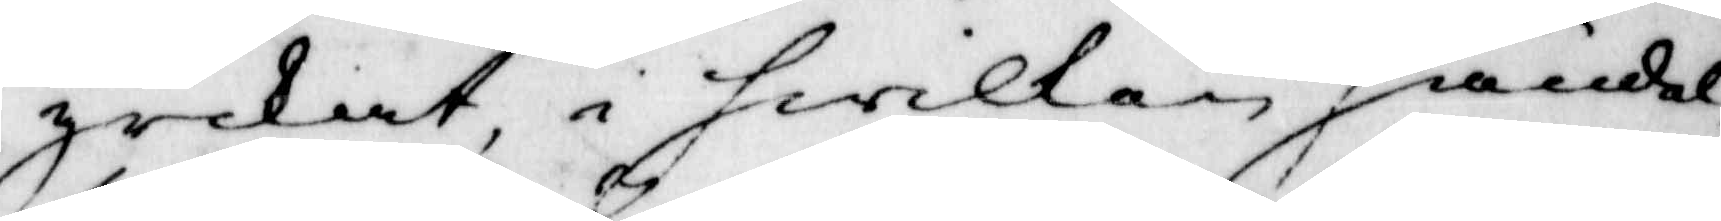yrkat, i hwilken händel¬
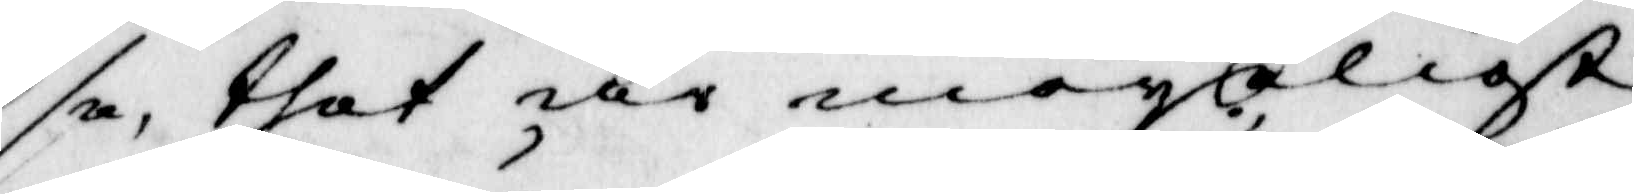se, thet är möyeligst
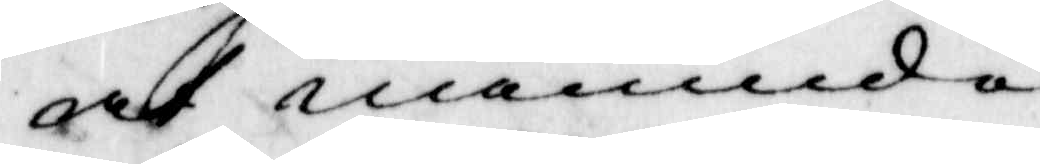at nämnde¬
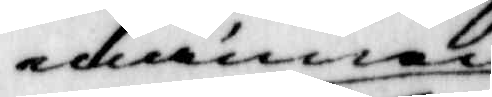männen
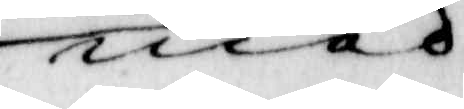med
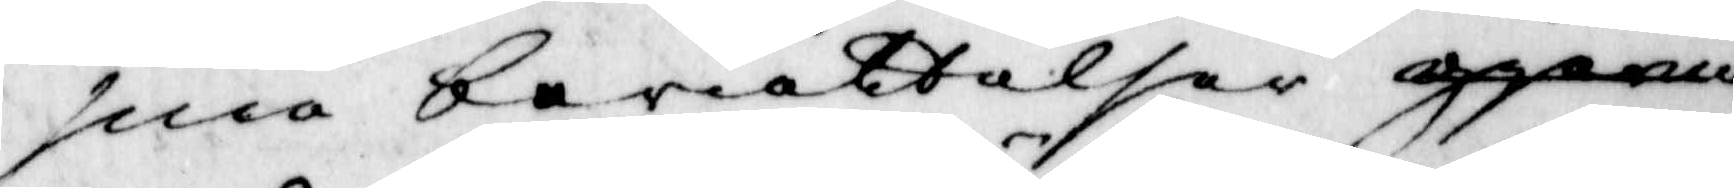sina berättelser gierna
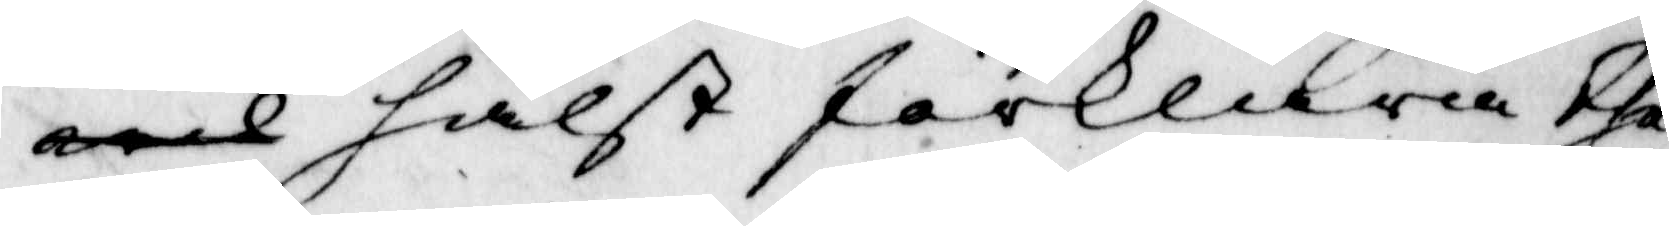med hälst förklara the¬
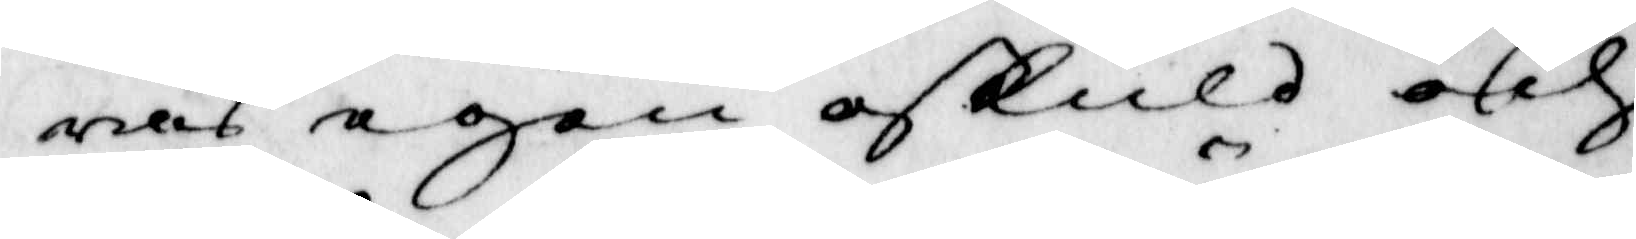ras egen oskuld och
